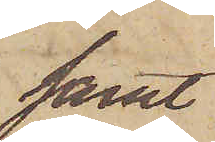samt
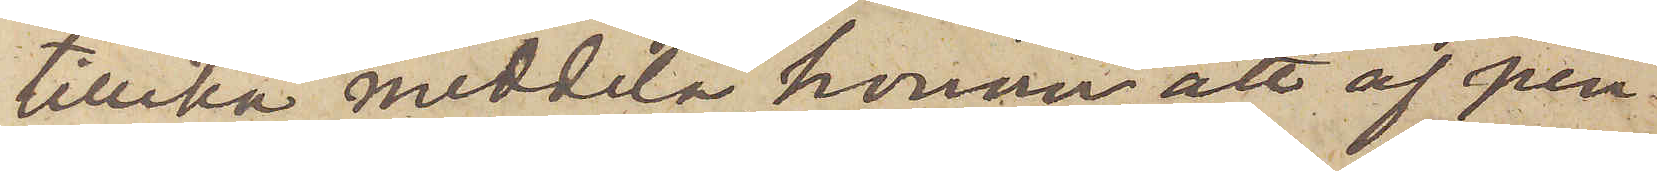tillika meddela honom, att af pen¬
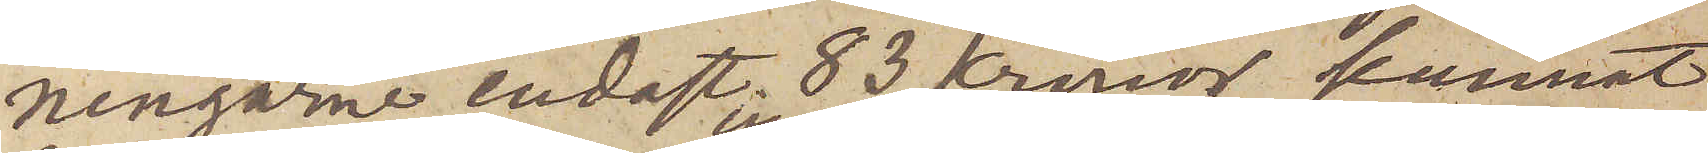ningarne endast 83 Kronor kunnat
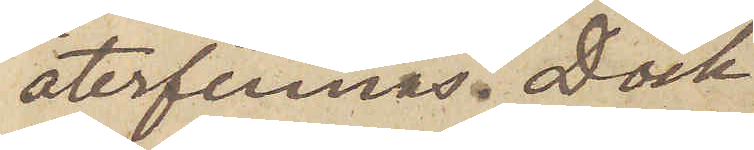återfinnas. Dock
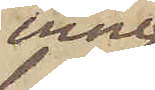inne¬
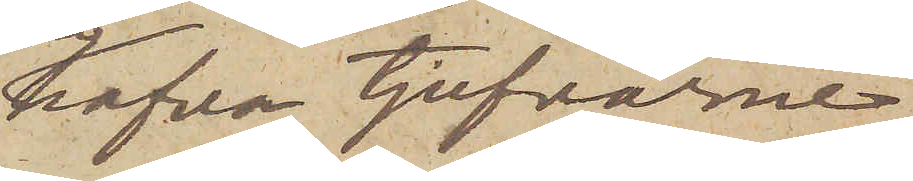hafva tjufvarne
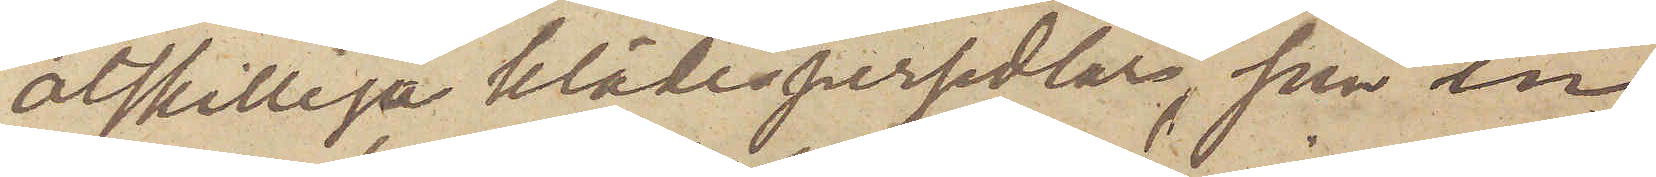åtskilliga klädespersedlar, som in¬
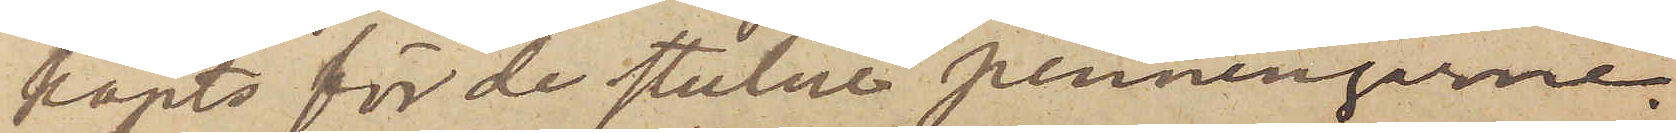köpts för de stulne penningarne.
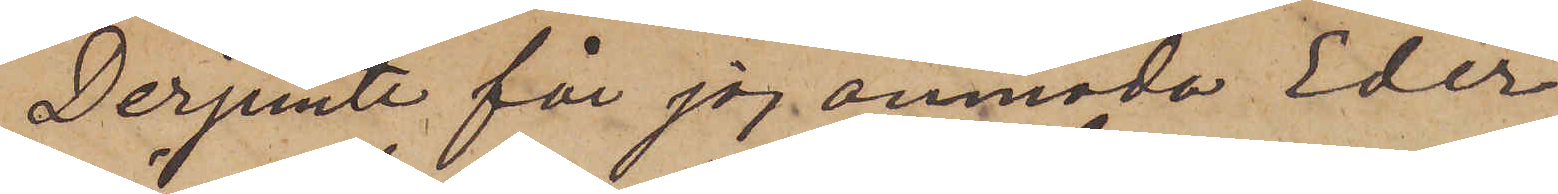Derjemte får jag anmoda Eder
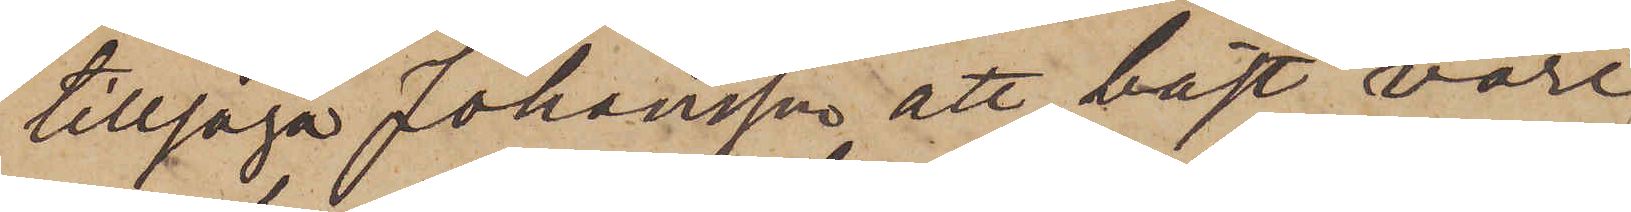tillsäga Johansson, att bäst vore
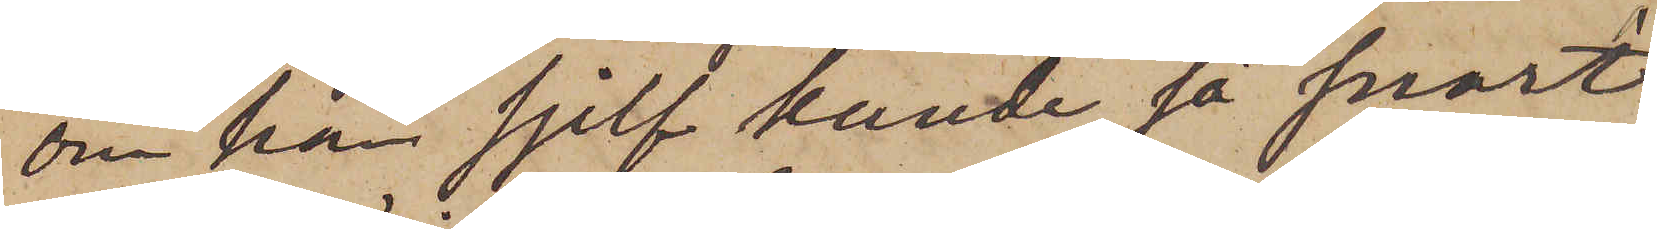om han sjelf kunde så snart
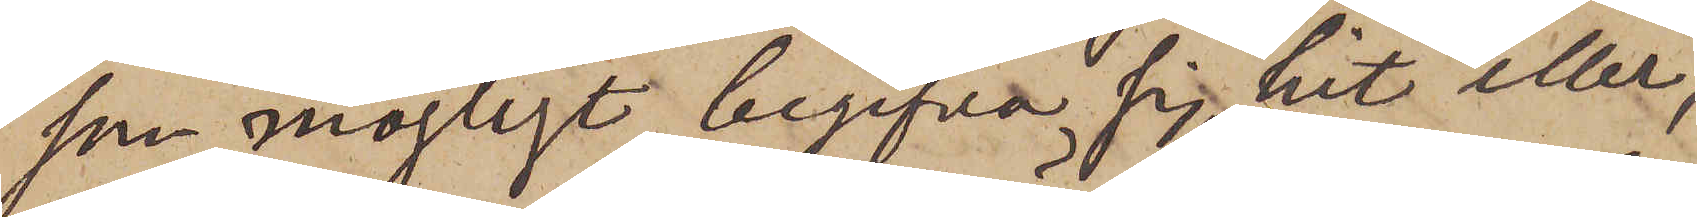som möjligt begifva sig hit eller,
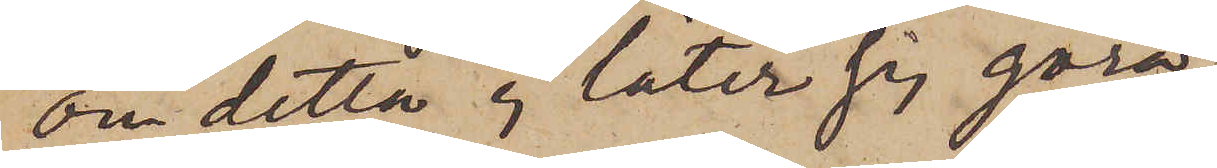om detta ej låter sig göra,
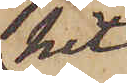hit
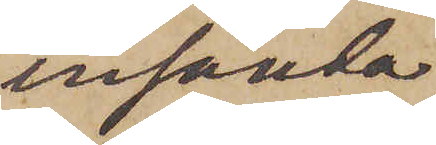insända
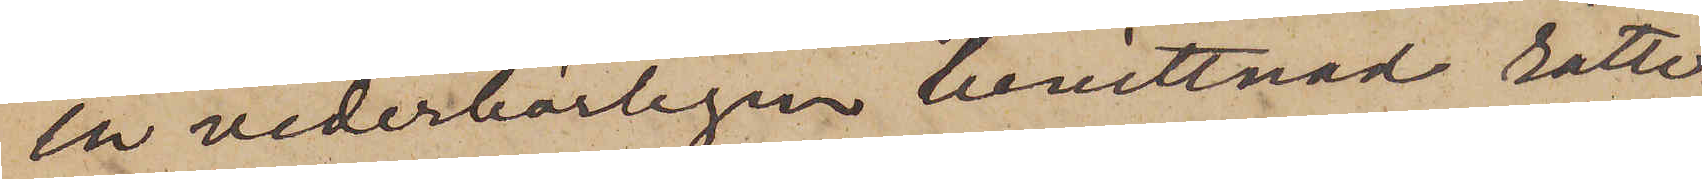en vederbörligen bevittnad rätte¬
